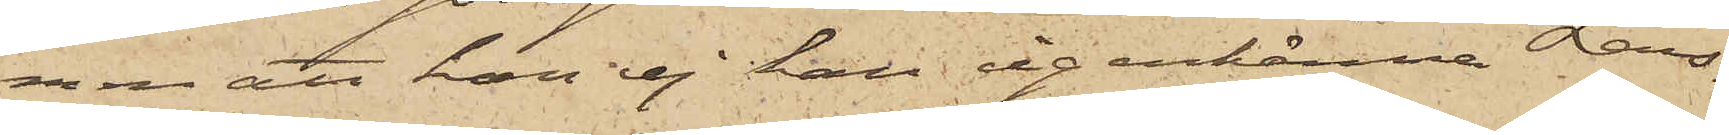men att han ej han igenkänna Lars¬
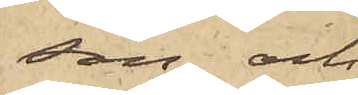son; och
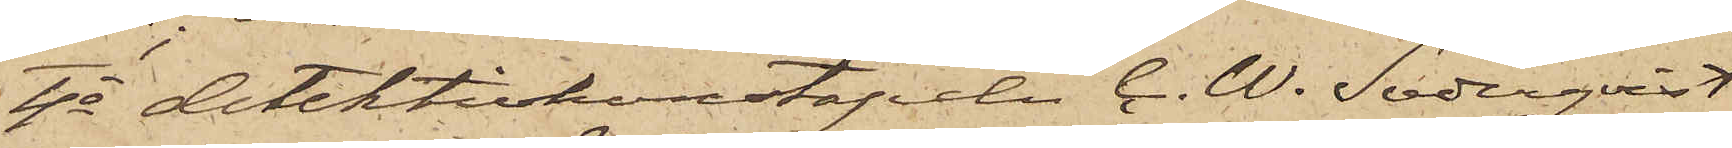4o detektivkonstapeln C. W. Söderqvist
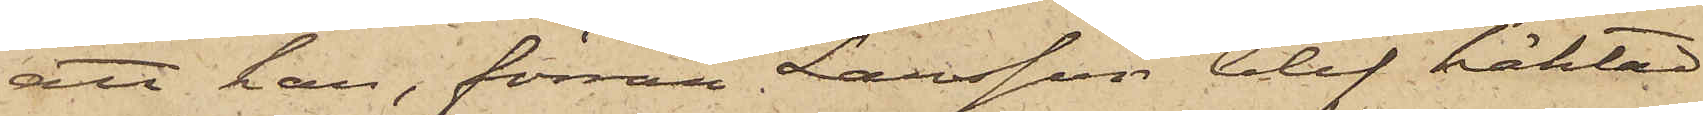att han, förrän Larsson blef häktad,
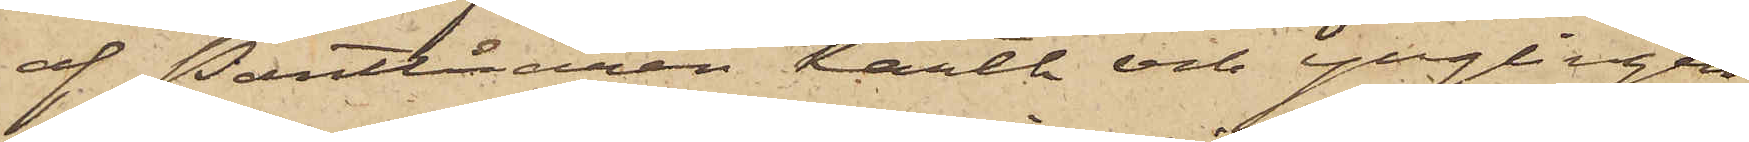af Pantlånaren Karth och ynglingen
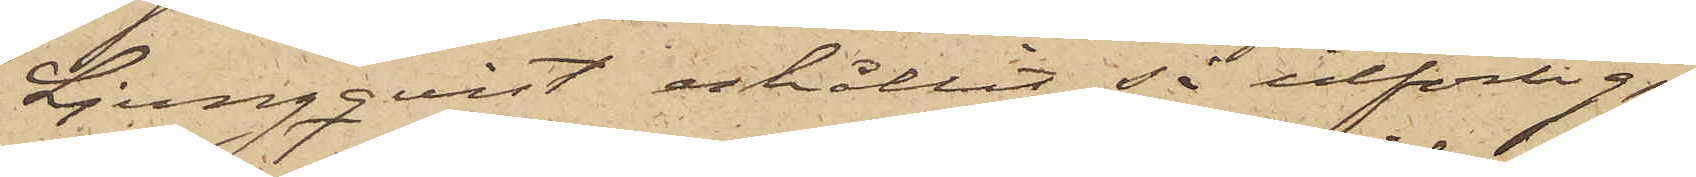Ljungqvist erhållit så utförlig,
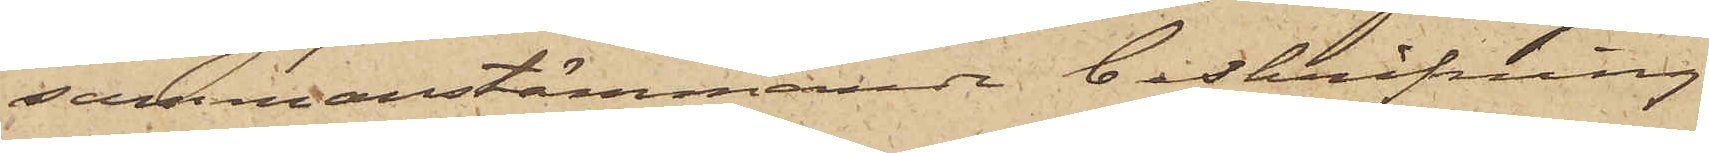sammanstämmande beskrifning
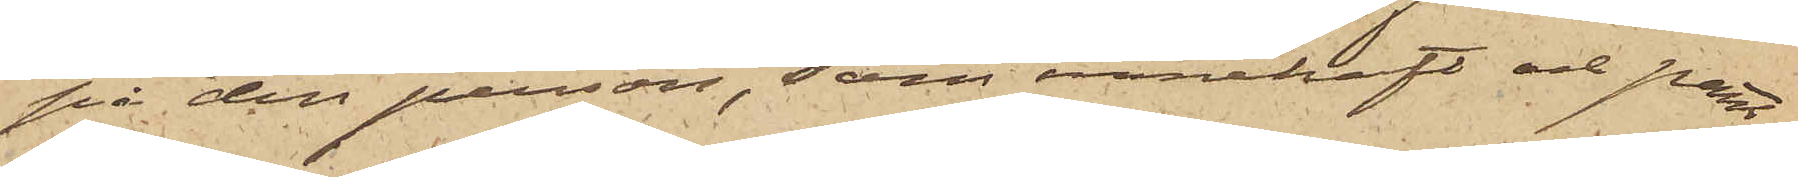på den person, som innehaft och pant¬
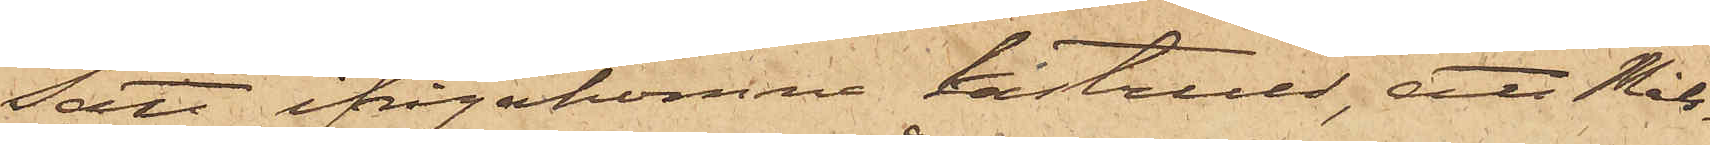satt ifrågakomne kastrull, att Måls¬
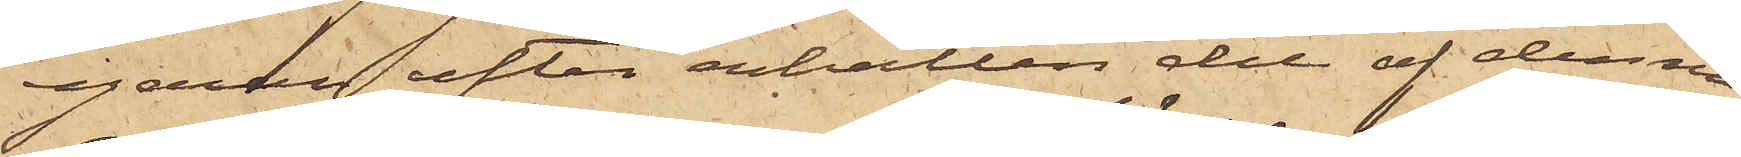egaren efter erhållen del af denna
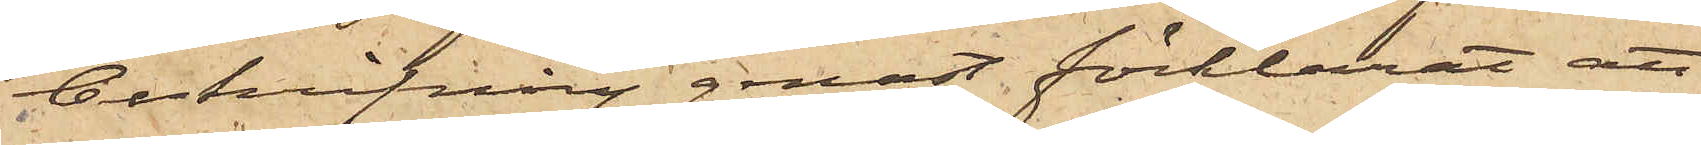beskrifning genast förklarat, att
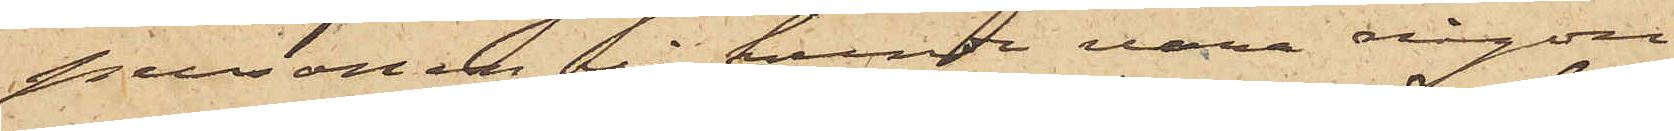personen ej  kunde vara någon
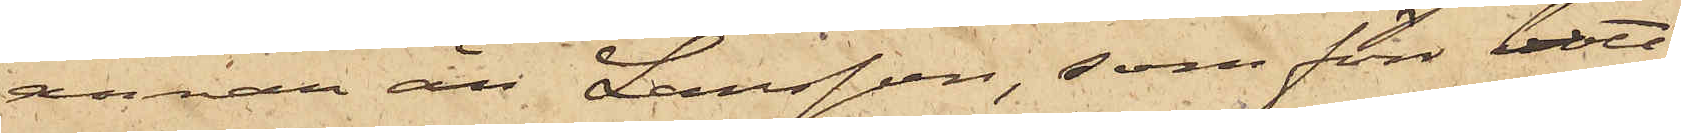annan än Larsson, som förr bott
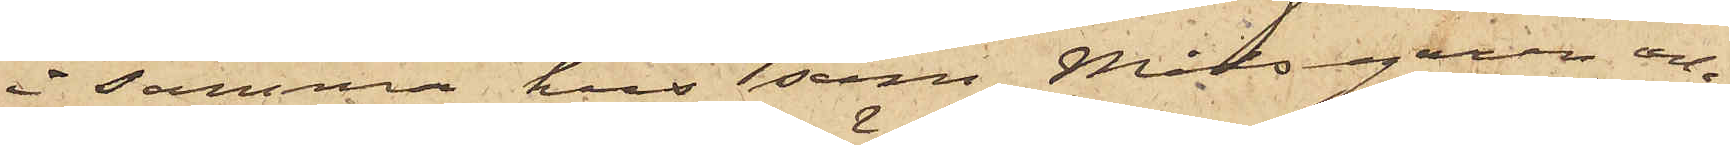i samma hus som Målsegaren och
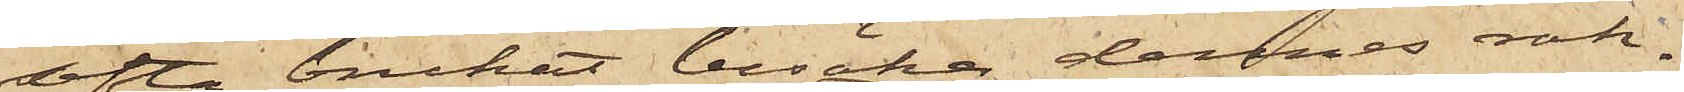ofta brukat besöka dennes rak¬
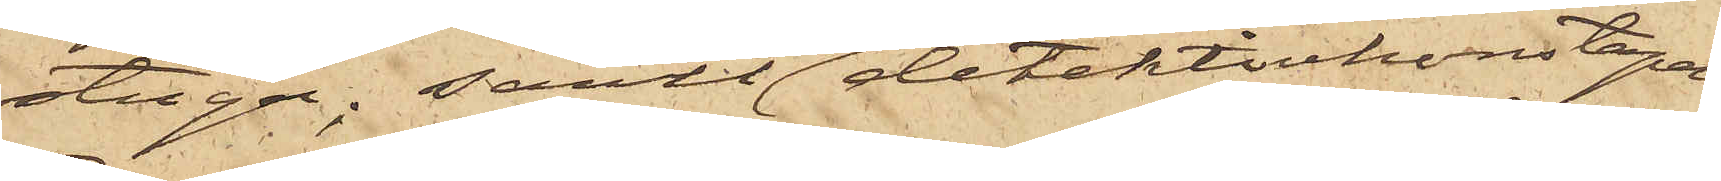stuga; samt att detektivkonstapeln
